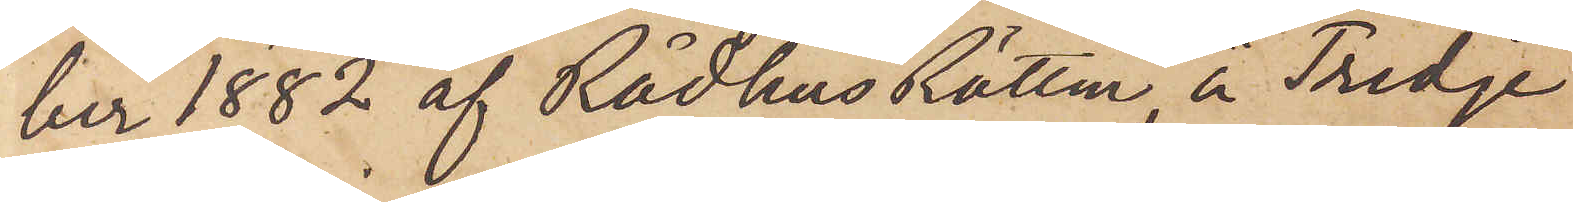ber 1882 af Rådhus Rätten å Tredje
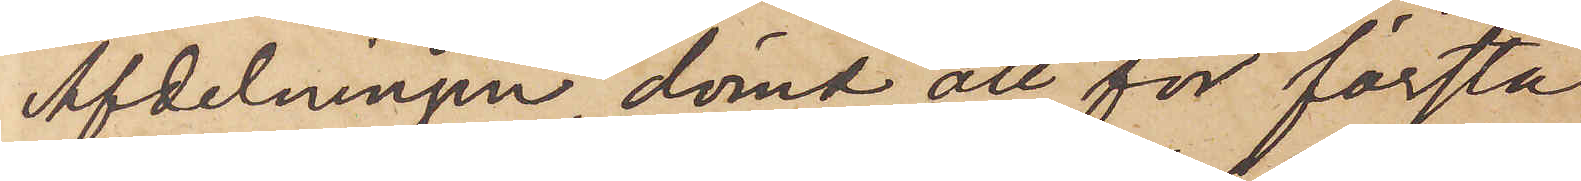Afdelningen dömd att för första
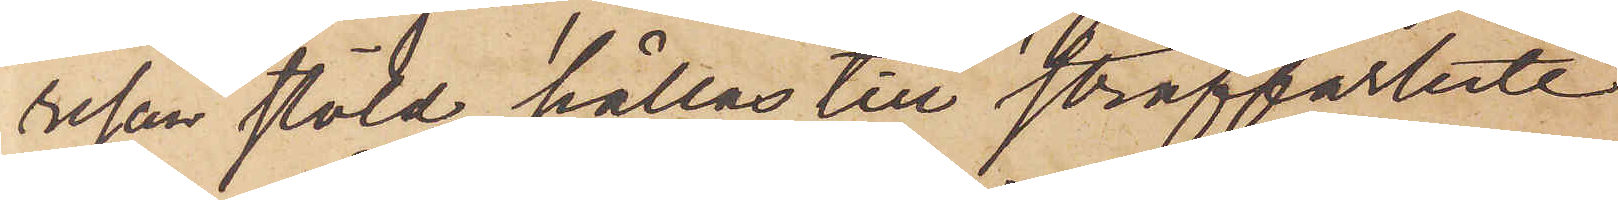resan stöld, hållas till straffarbete
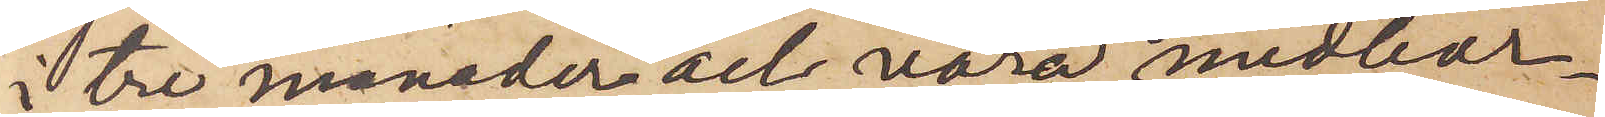i tre månader och vara medbor¬
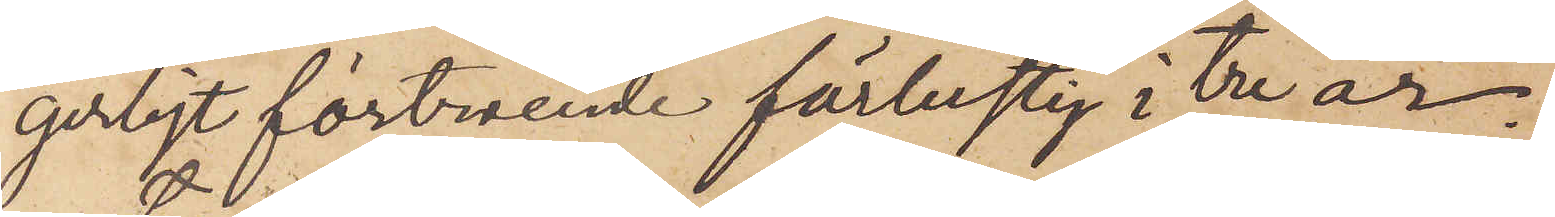gerligt förtroende förlustig i tre år.
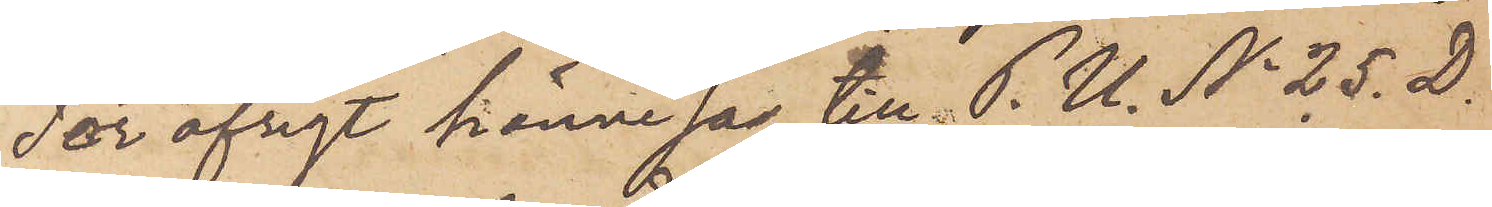För öfrigt hänvisas  till P. U. No 25. D.
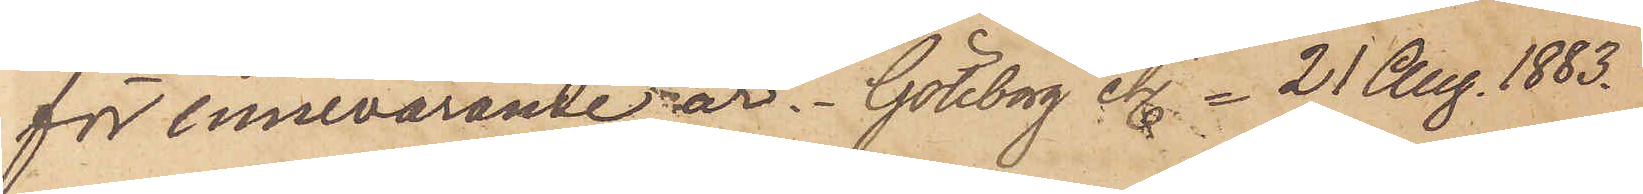för innevarande år. Göteborg etc - 21 Aug. 1883.
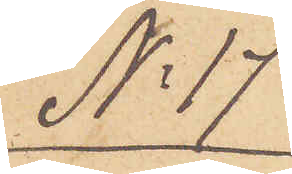No 17
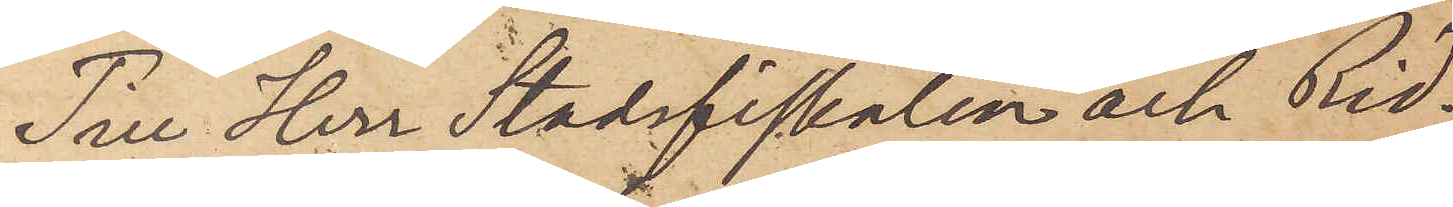Till Herr Stadsfiskalen och Rid¬
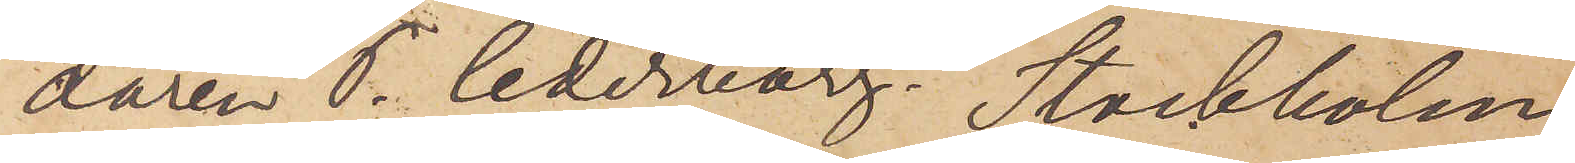daren P. Cederborg. Stockholm.
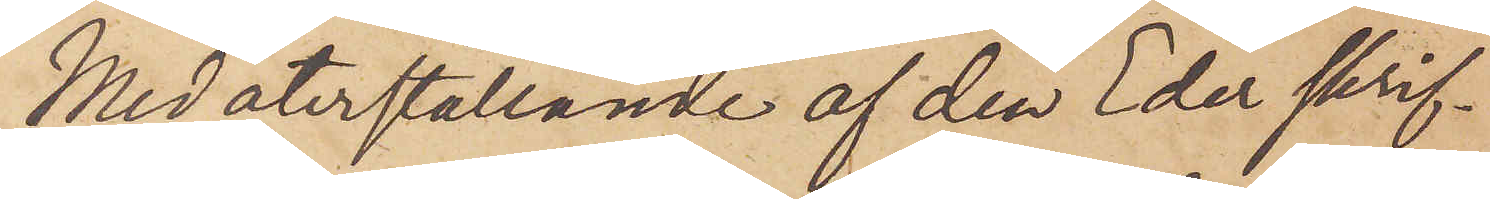Med återställande af den Eder skrif¬
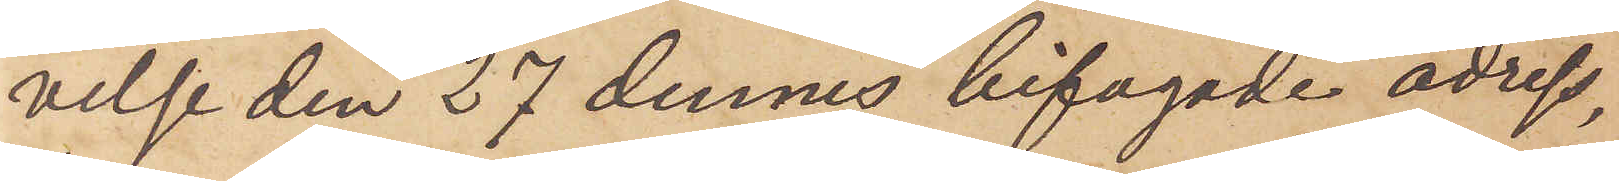velse den 27 dennes bifogade adress¬
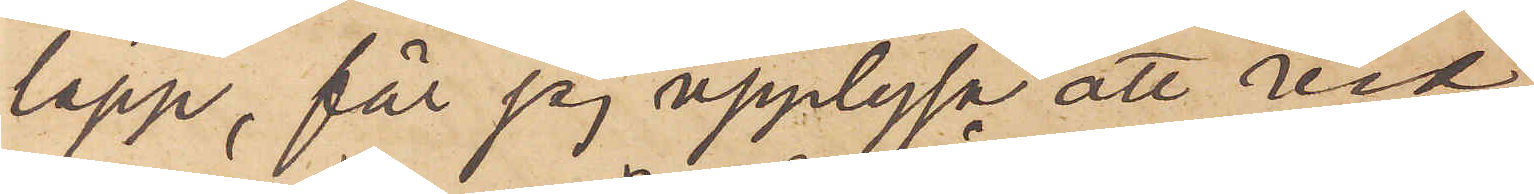lapp, får jag upplysa att vid
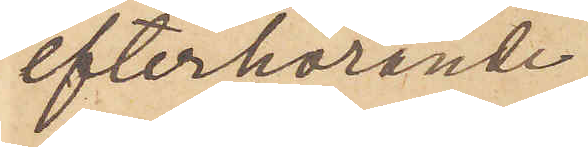efterhörande
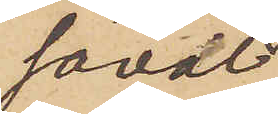såväl
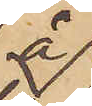å
